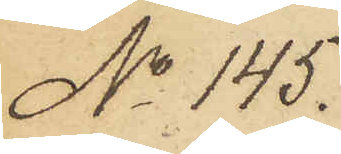No 145.
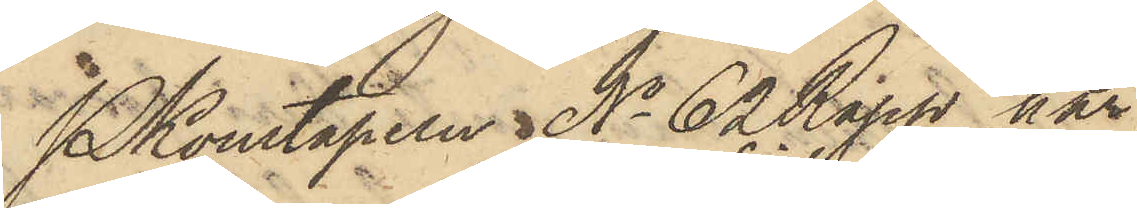PKonstapeln No 62 Rapp har
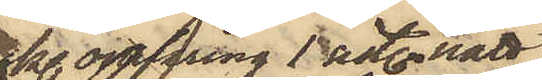kl. omkring 1 sist. natt
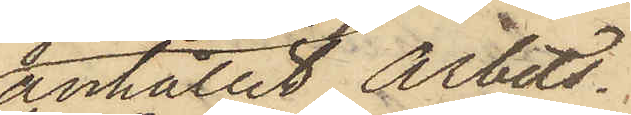anhållit Arbets¬
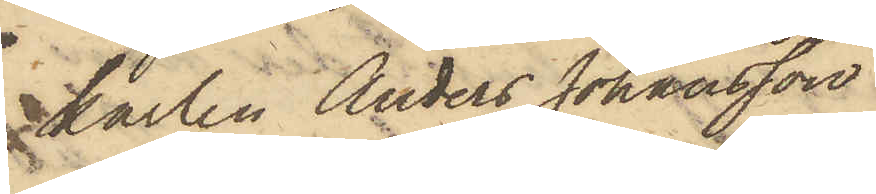karlen Anders Johansson
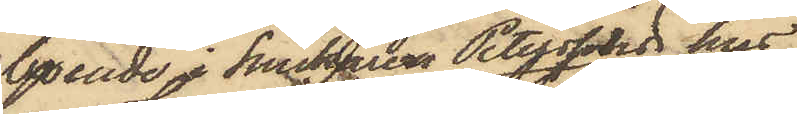boende i Snickaren Peterssons hus i
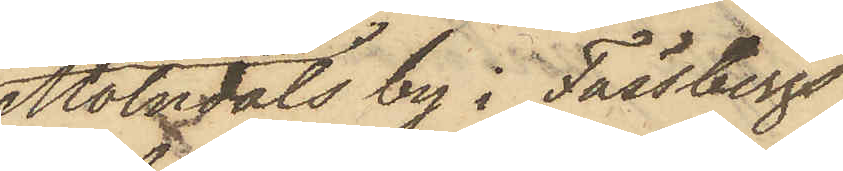Mölndals by i Fässbergs
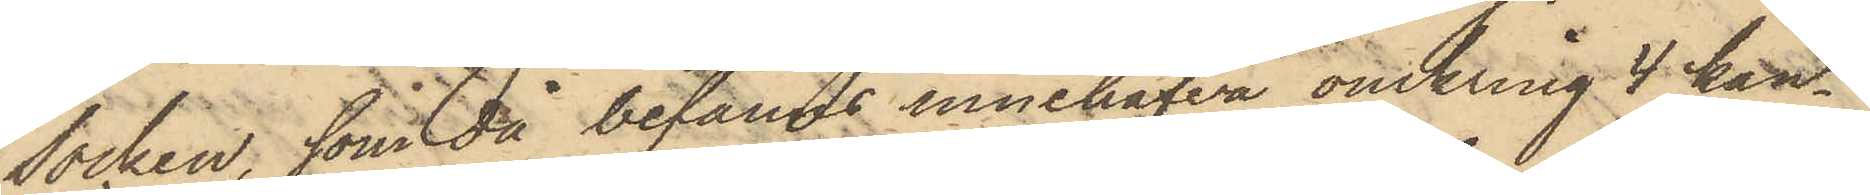Socken, som då befanns innehafva omkring 4 kan¬
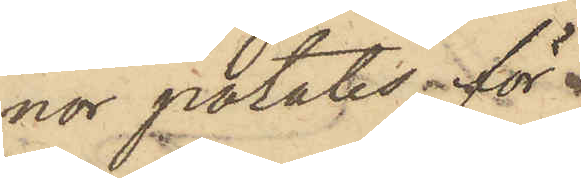nor potatis, för
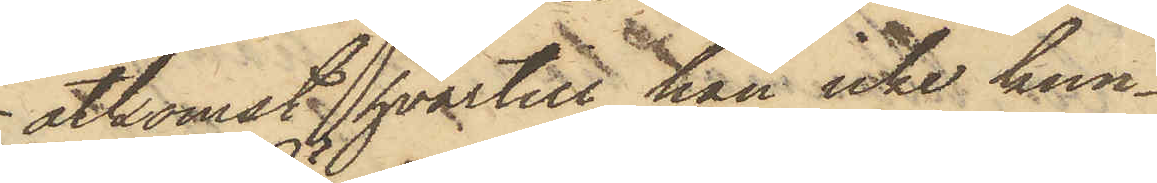åtkomst hvartill han icke kun¬
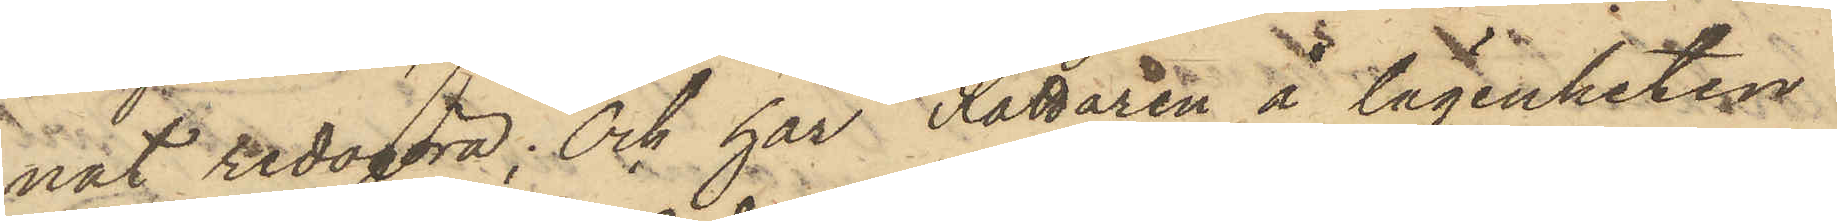nat redogöra; Och har Rättaren å lägenheten
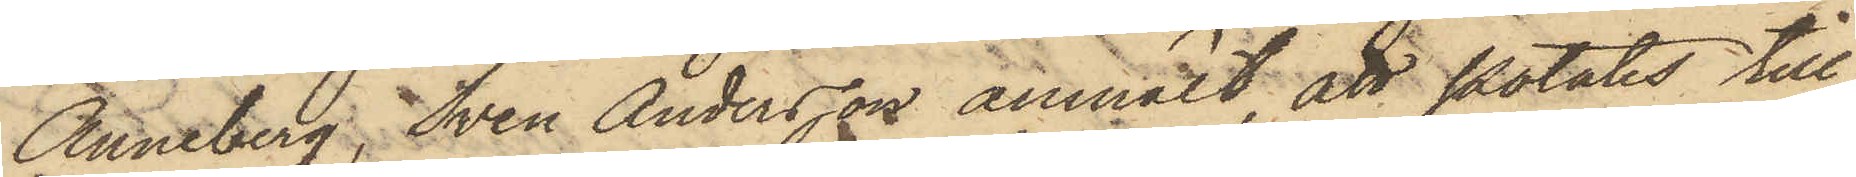Anneberg, Sven Andersson anmält, att potatis till
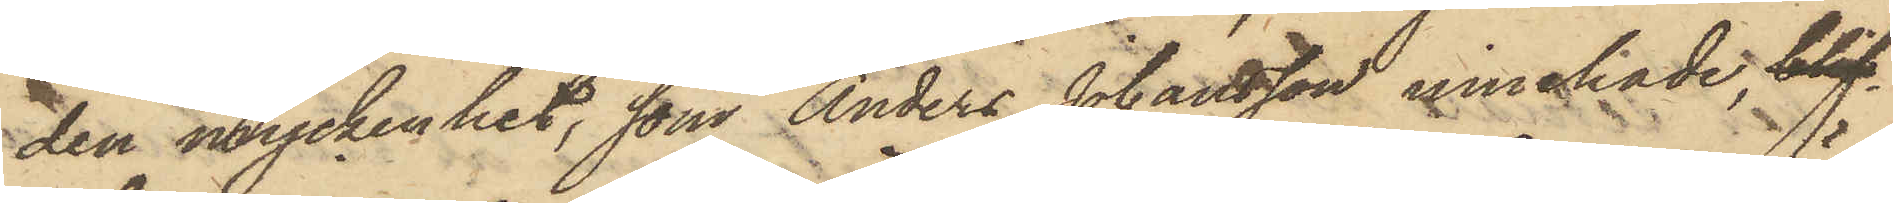den myckenhet, som Anders Johansson innehade, blif¬
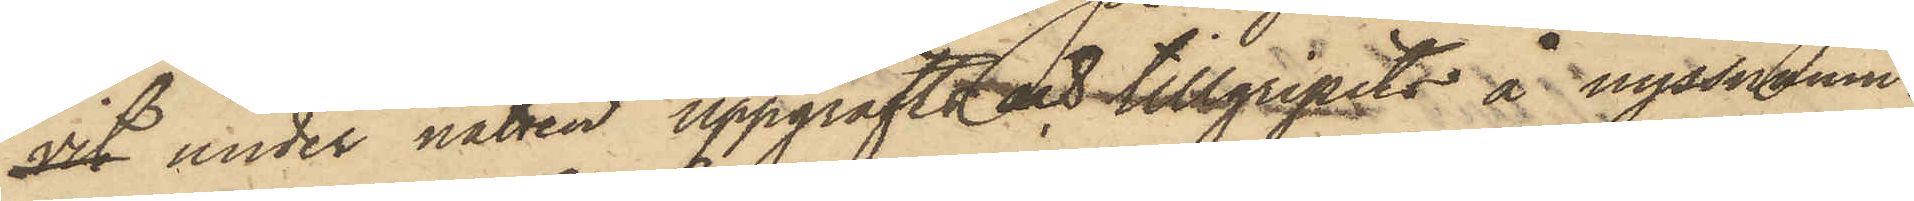vit under natten uppgräfta och tillgripits å nyssnämn¬
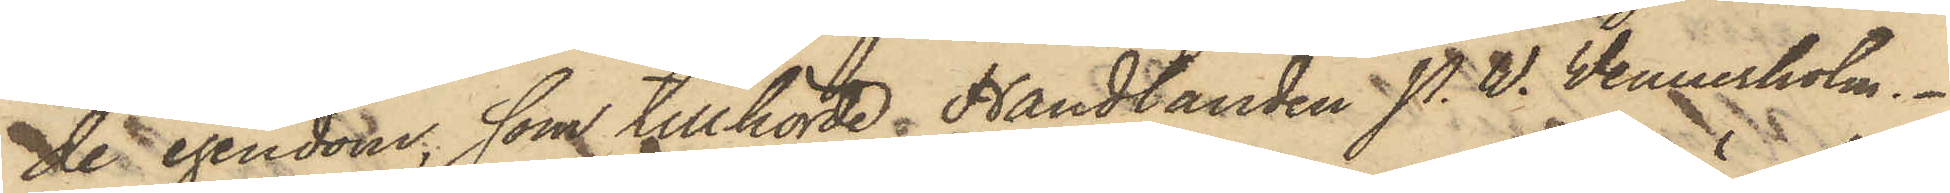de egendom, som tillhörde Handlanden P. W. Vennerholm.
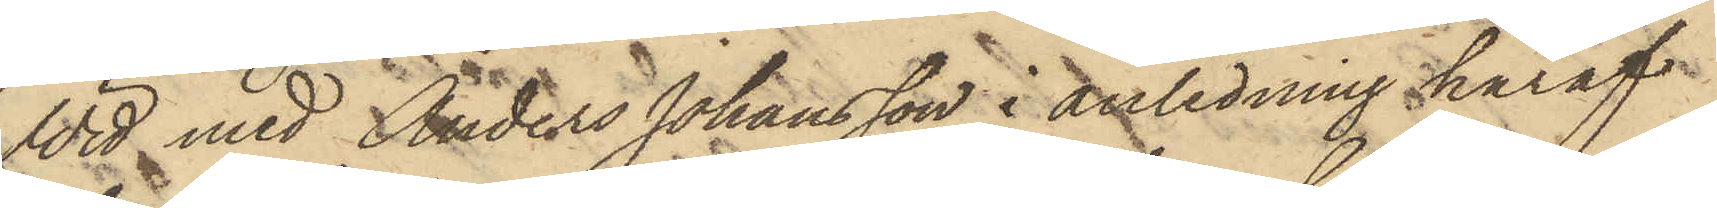Wid med Anders Johansson i anledning häraf
